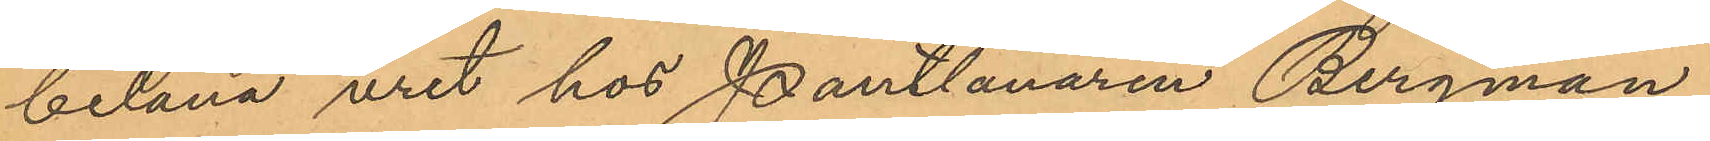belåna uret hos Pantlånaren Bergman,
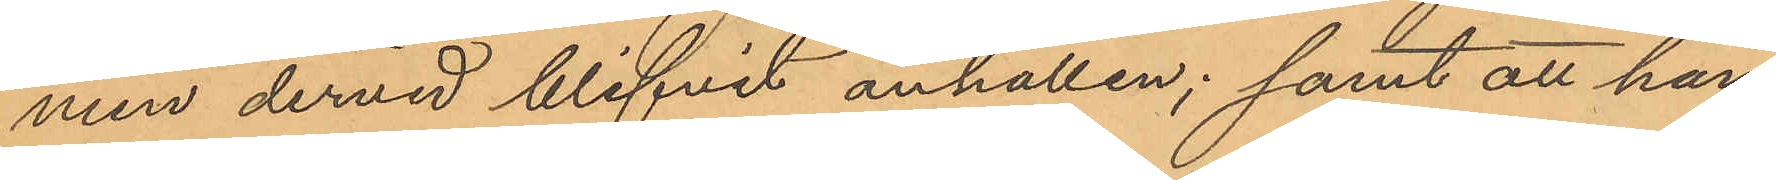men dervid blifvit anhållen; samt att han
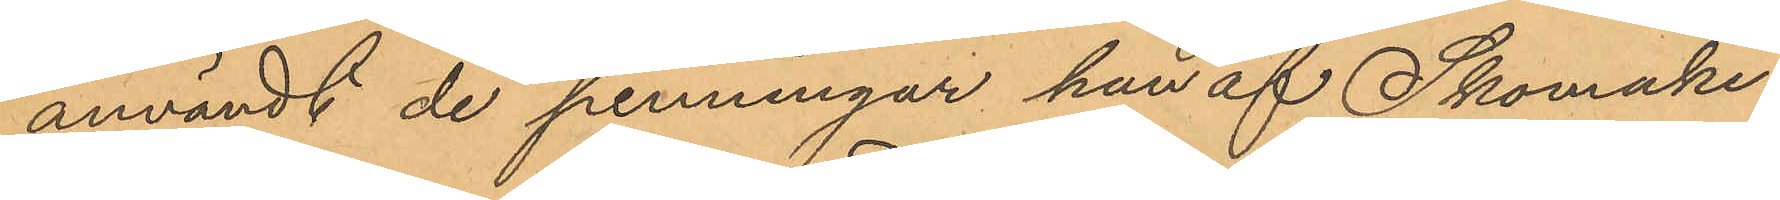användt de penningar han af Skomake¬
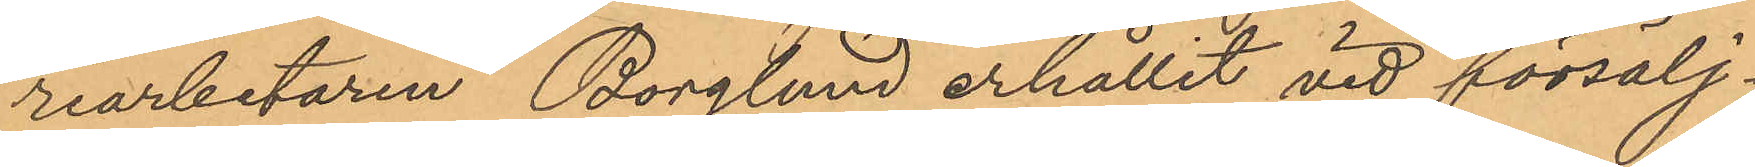riarbetaren Borglund erhållit vid försälj¬
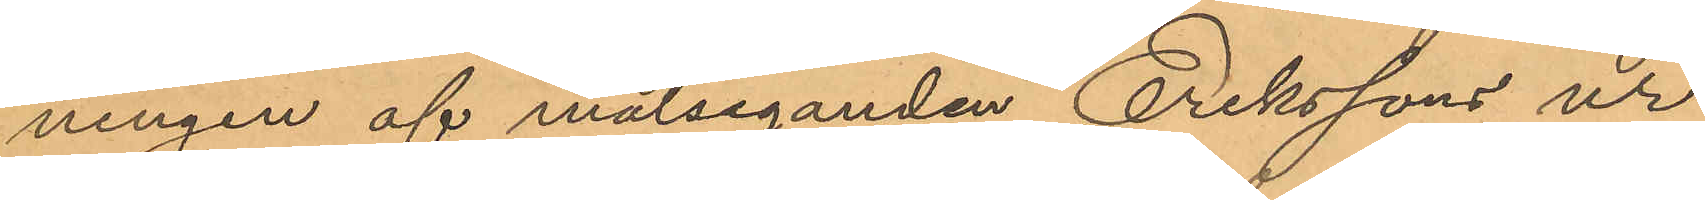ningen af målseganden Erikssons ur
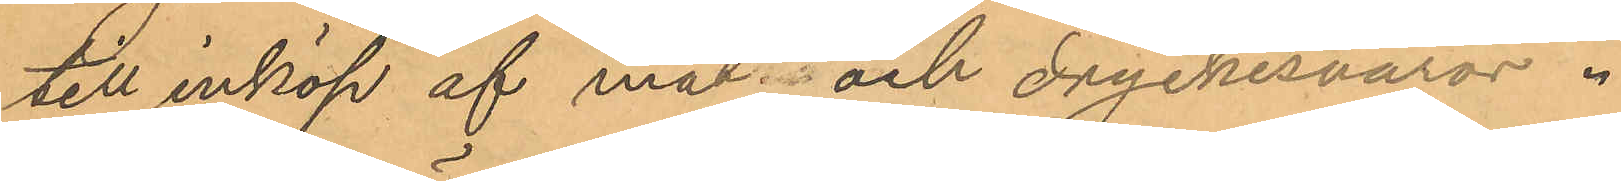till inköp af mat och dryckesvaror.
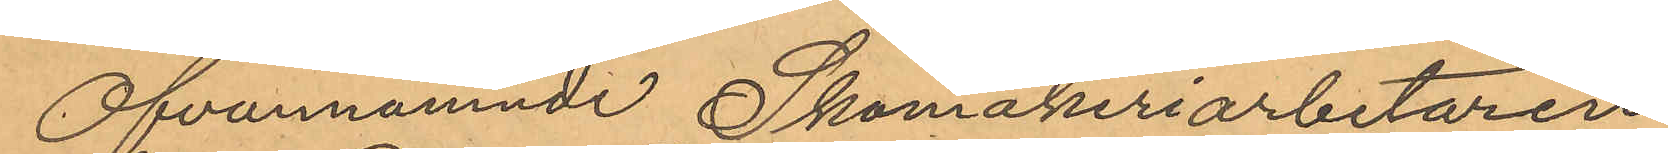Ofvannämnde Skomakeriarbetaren
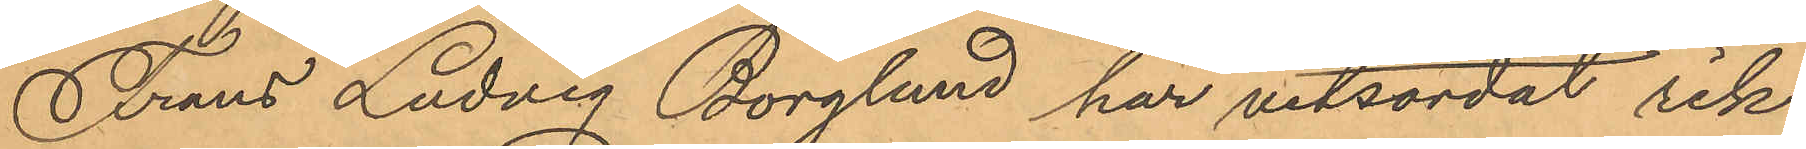Frans Ludvig Borglund har vitsordat rik¬
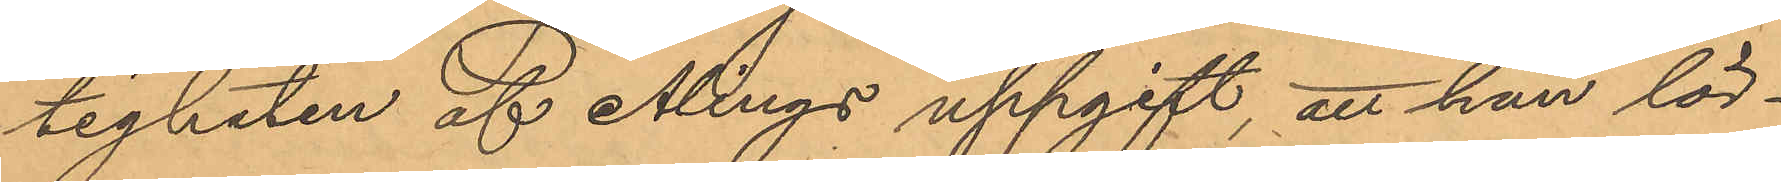tigheten af Ålings uppgift, att han lör¬
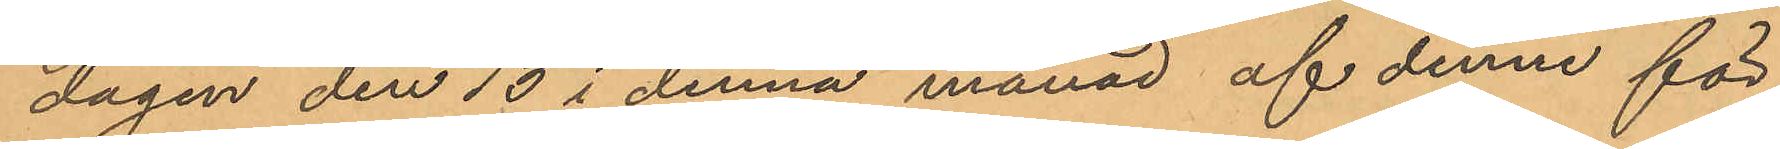dagen den 13 i denna månad af denne för
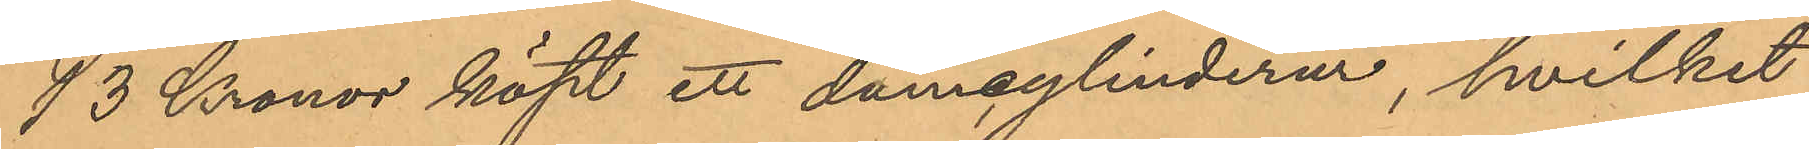13 Kronor köpt ett damcylinderur, hvilket
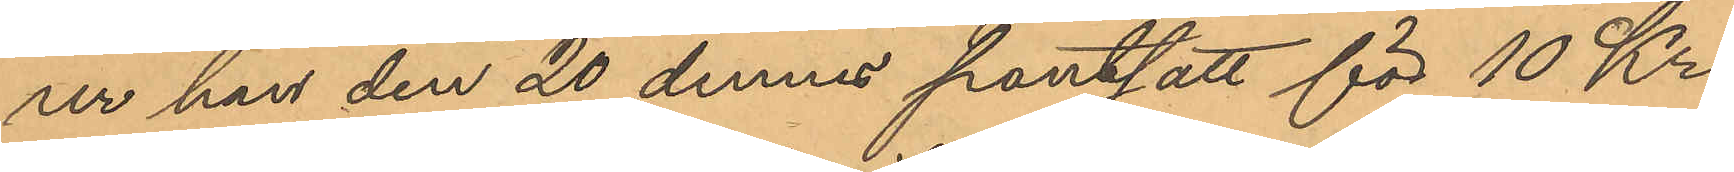ur han den 20 dennes pantsatt för 10 Kr.
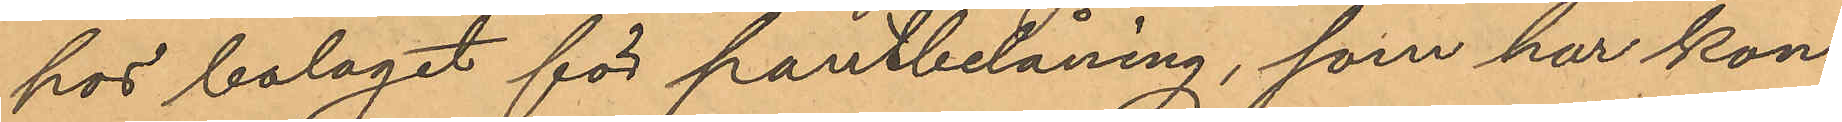hos bolaget för pantbelåning, som har kon¬
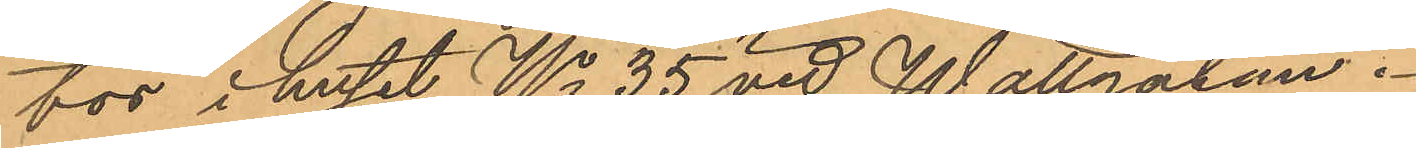tor i huset No 35 vid Wallgatan.
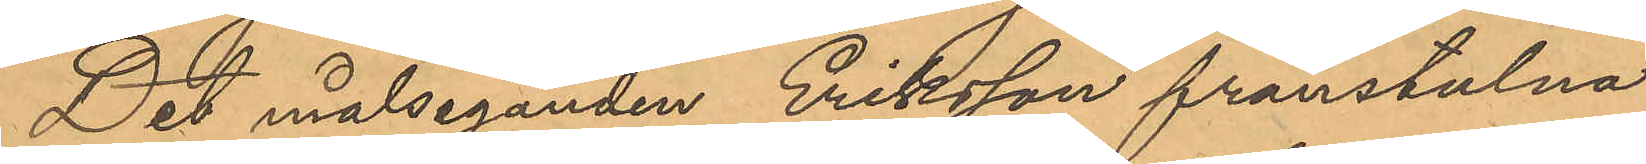Det målseganden Eriksson frånstulna
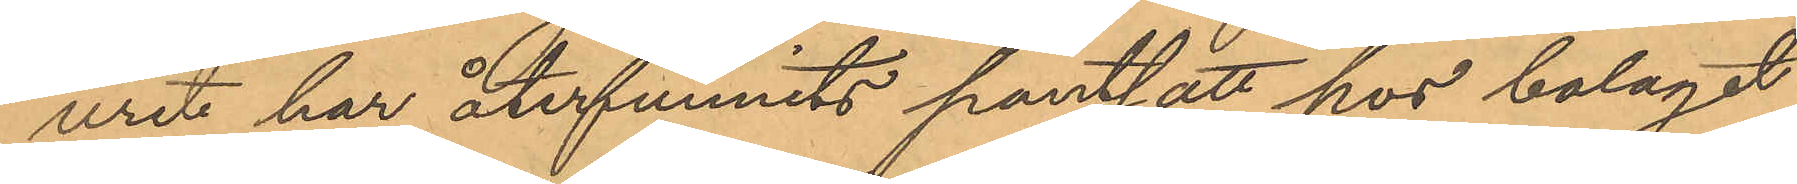uret har återfunnits pantsatt hos bolaget
